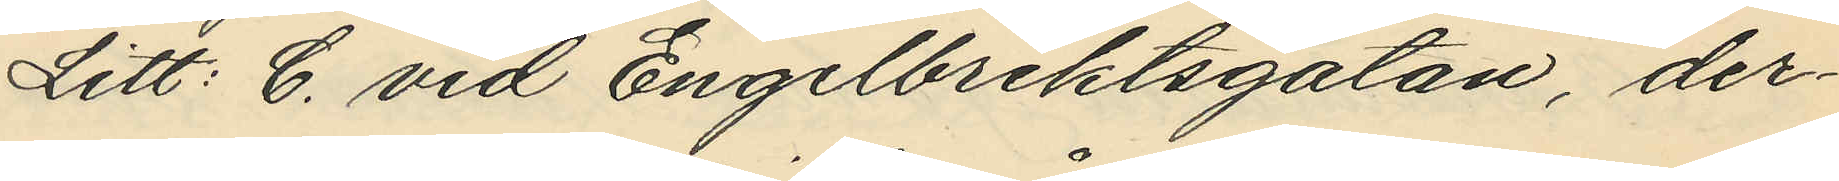Litt: C. vid Engelbrektsgatan, der¬
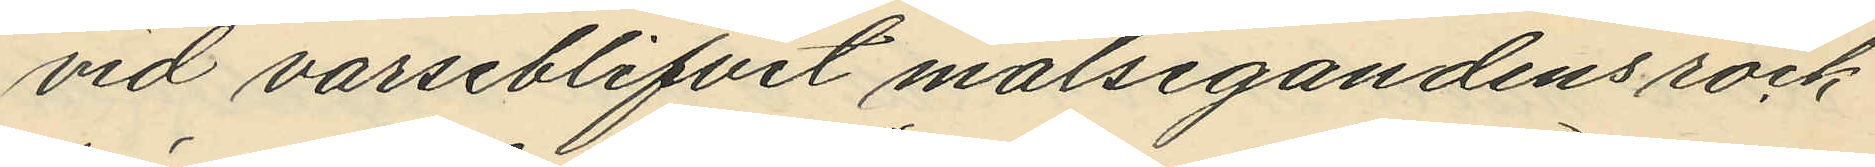vid varseblifvit målsegandens rock
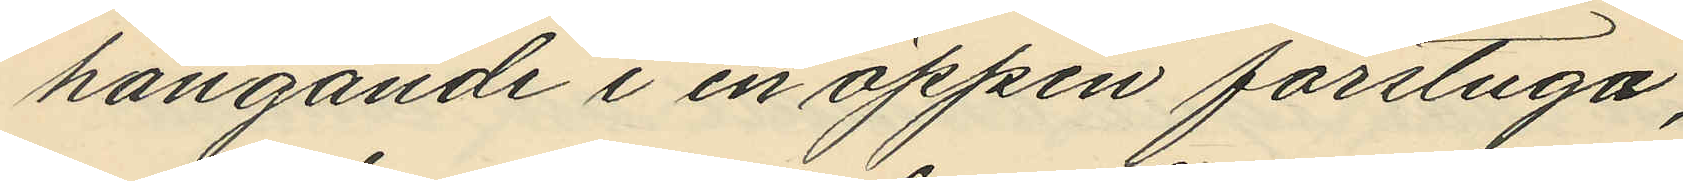hängande i en öppen förstuga;
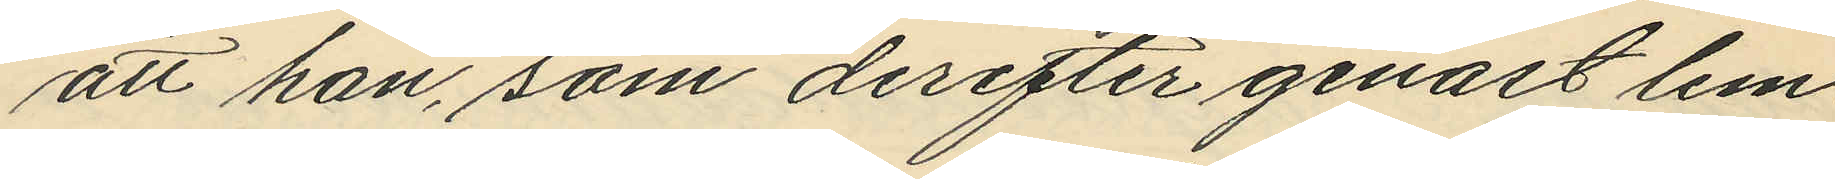att han, som derefter genast lem¬
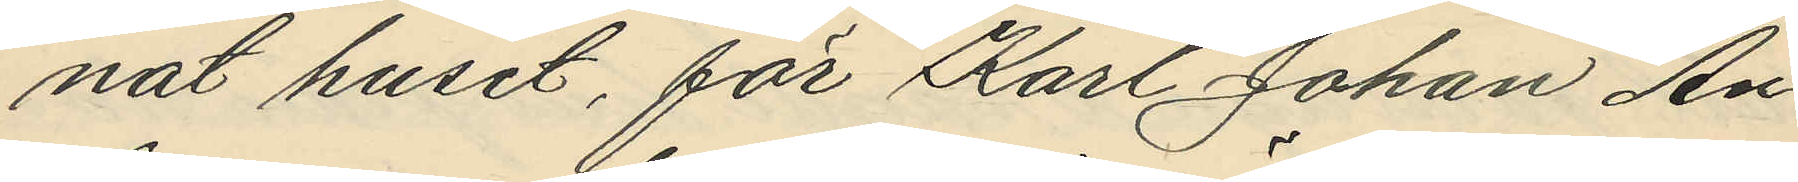nat huset, för Karl Johan An¬
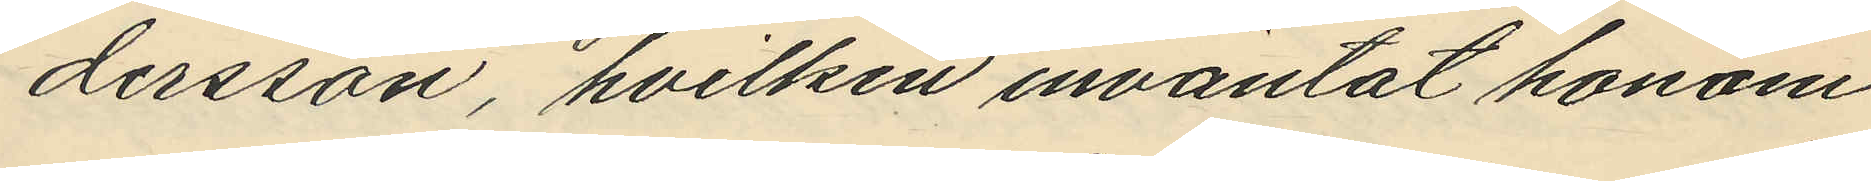dersson, hvilken inväntat honom
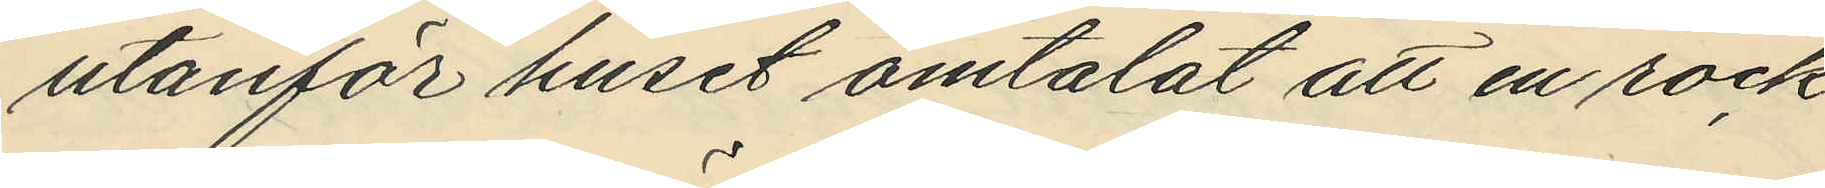utanför huset omtalat att en rock
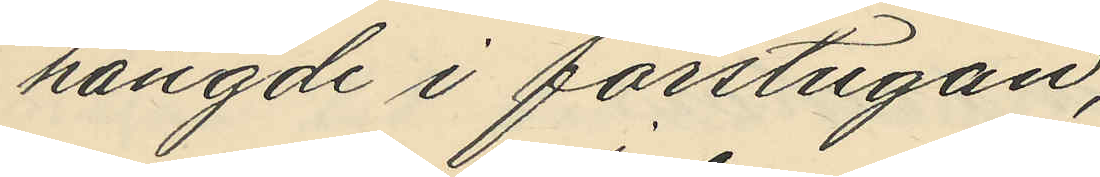hängde i förstugan;
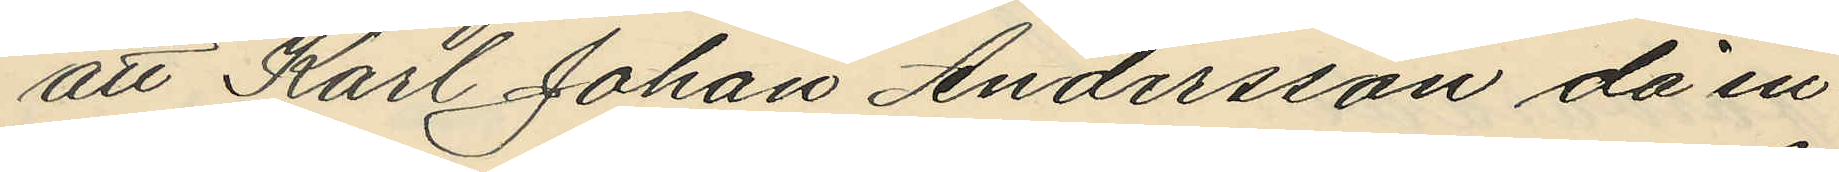att Karl Johan Andersson då in¬
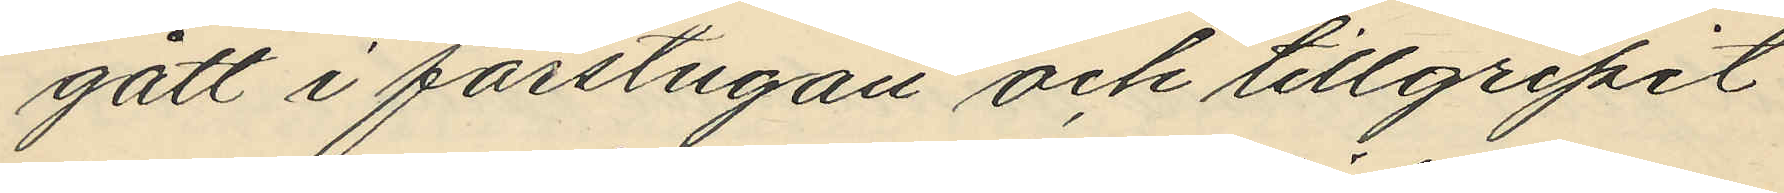gått i förstugan och tillgripit
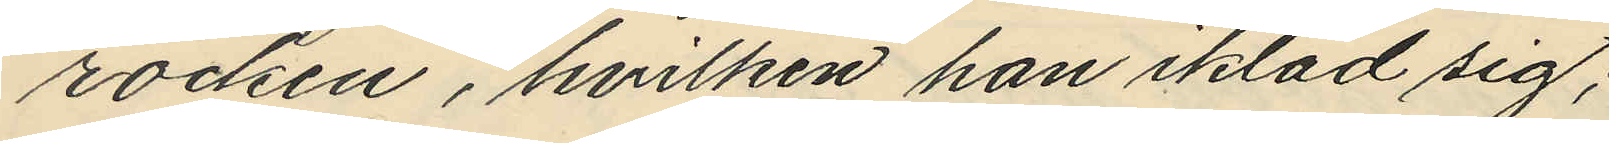rocken, hvilken han ikläd sig;
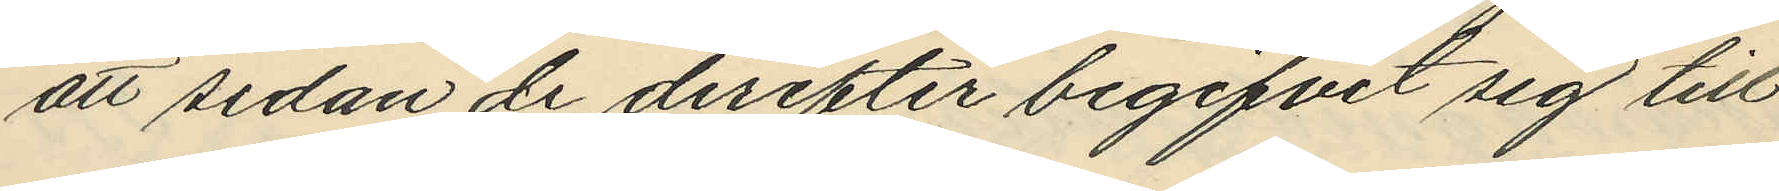att sedan de derefter begifvit sig till
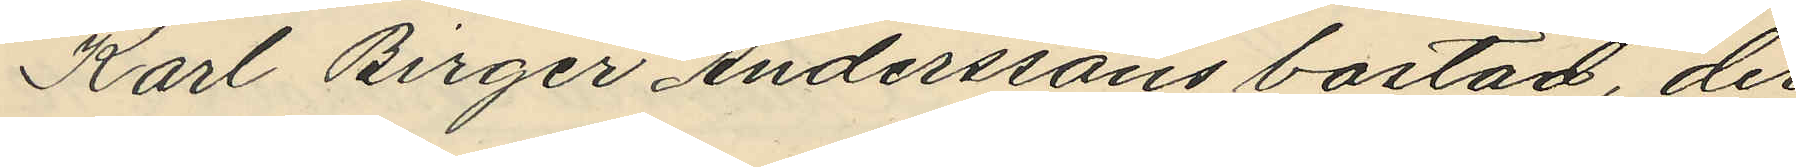Karl Birger Anderssons bostad, der
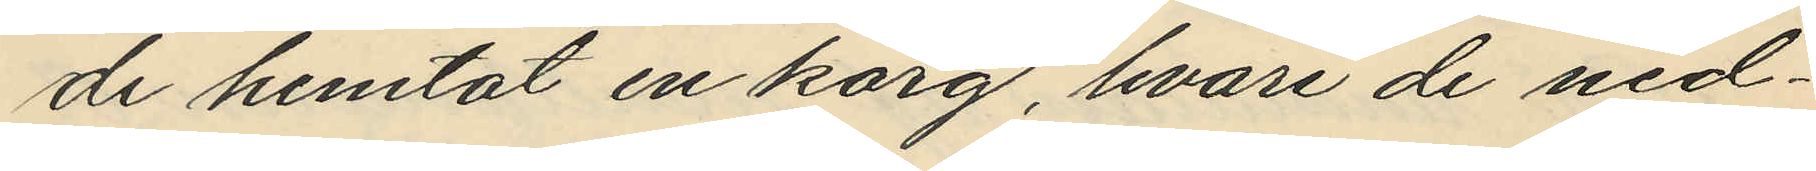de hemtat en korg, hvari de ned¬
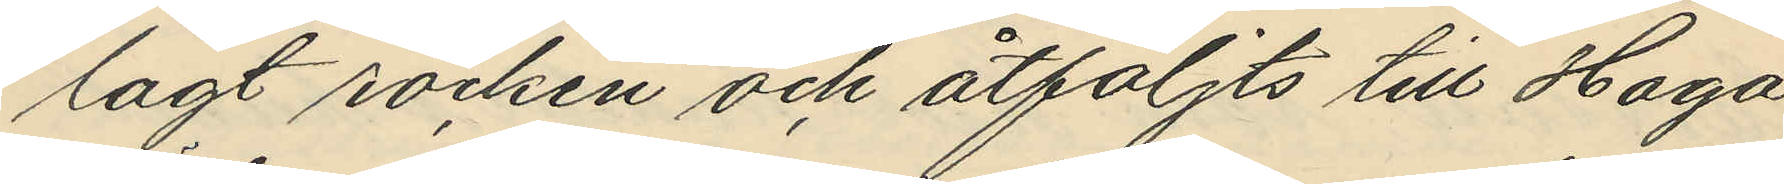lagt rocken och åtföljts till Haga
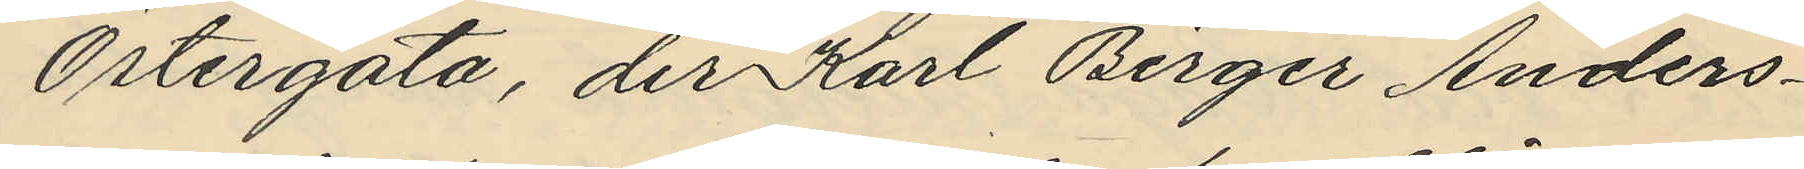Östergata, der Karl Birger Anders¬
